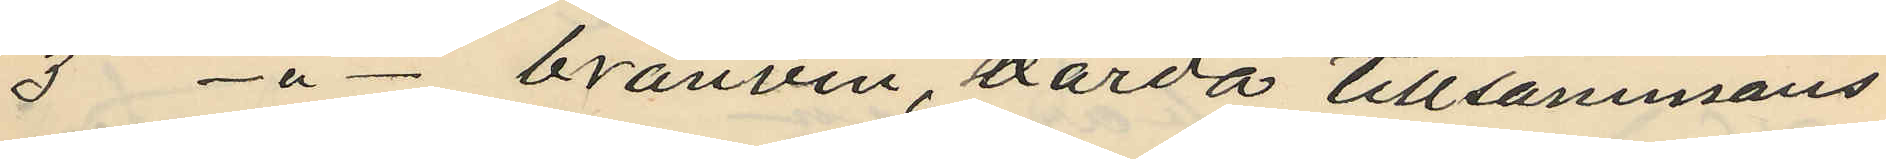3 -"- bränvin, värda tillsammans
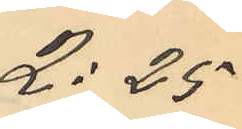2:25
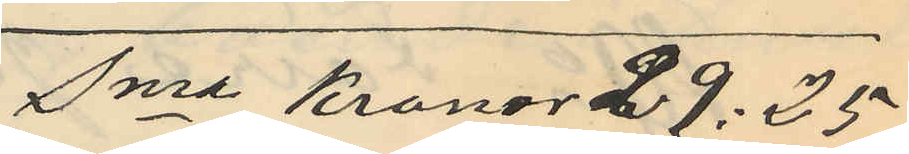Sma Kronor 29.25
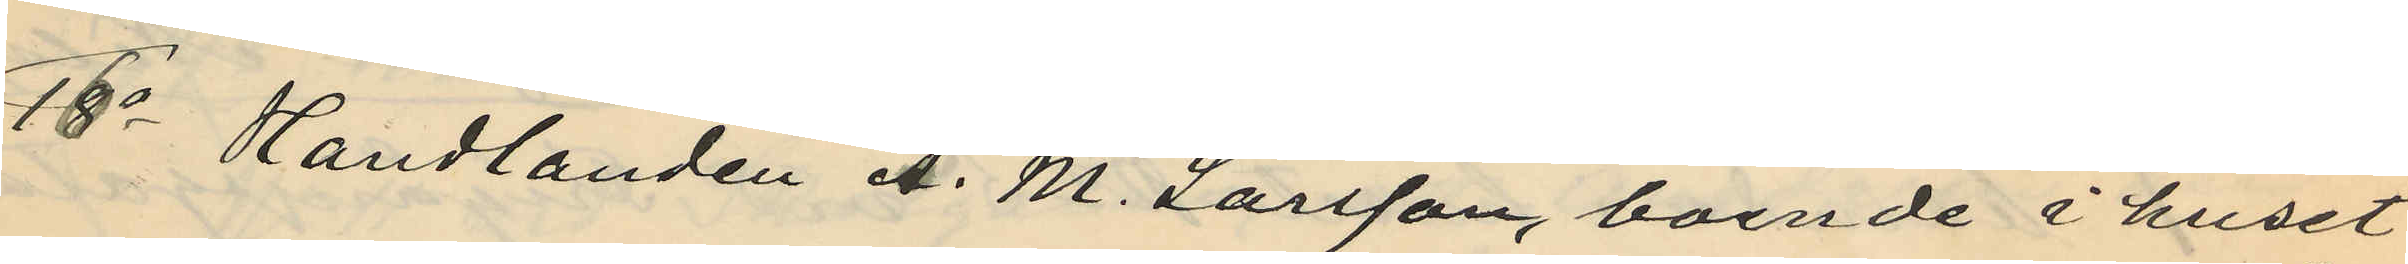16o Handlanden A. M. Larsson, boende i huset
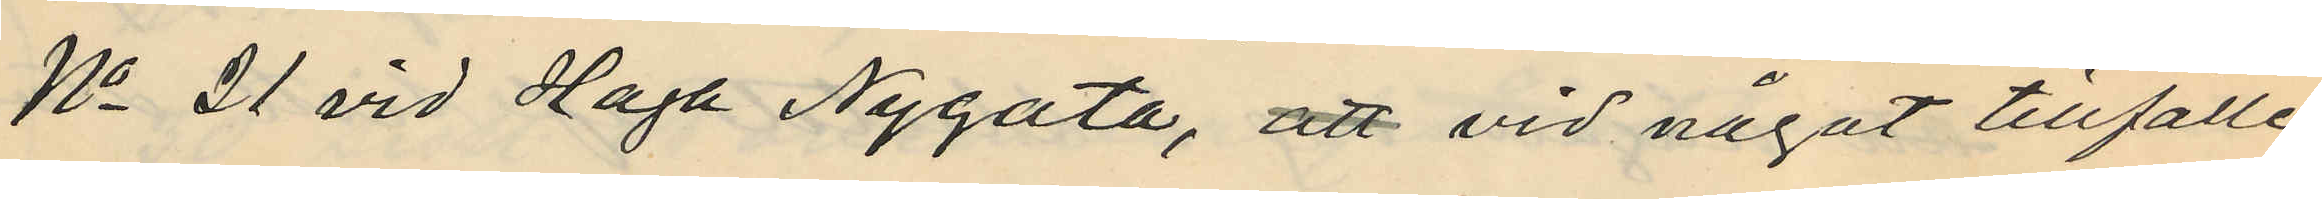No 21 vid Haga Nygata, att vid något tillfälle
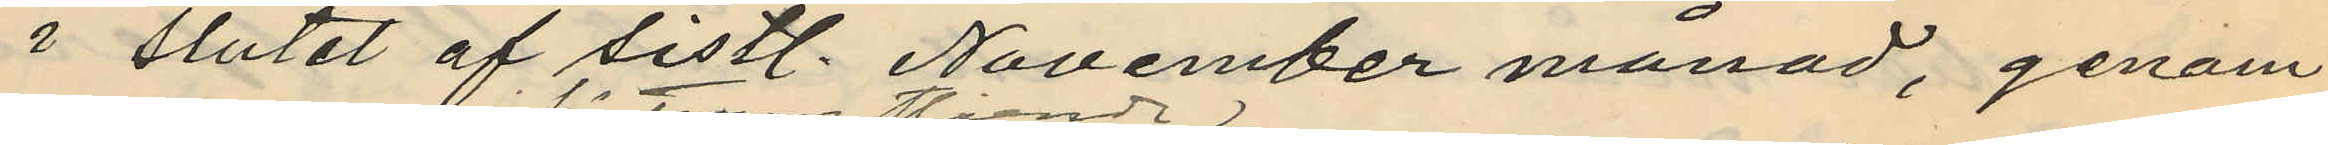i slutet af sistl. November månad, genom
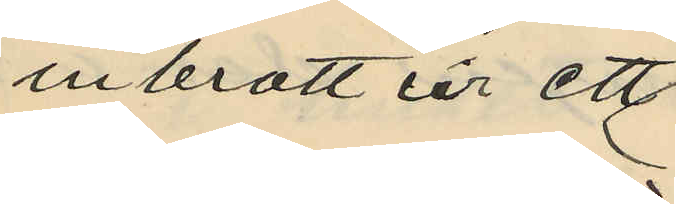inbrott ur ett
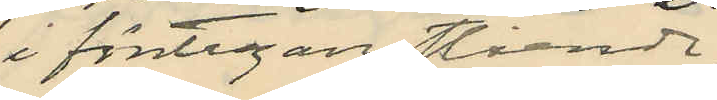i förstugan stående
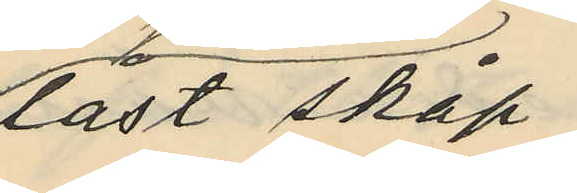låst skåp
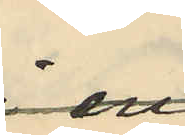som
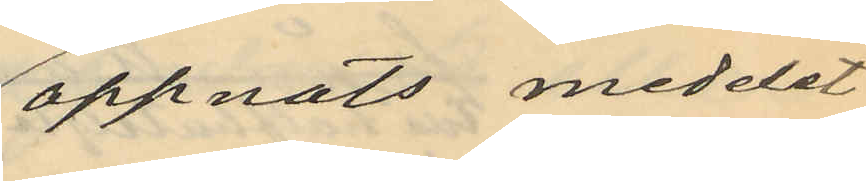öppnats meddelst
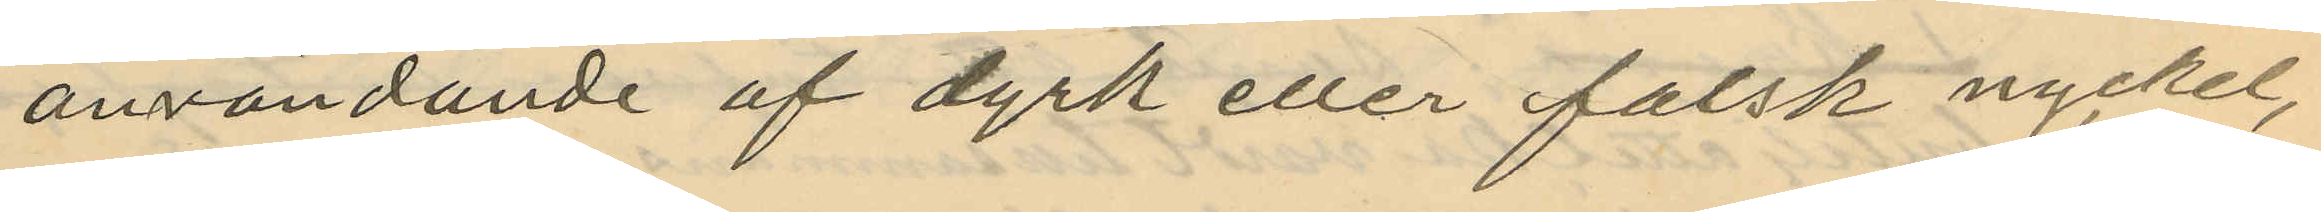användande af dyrk eller falsk nyckel,
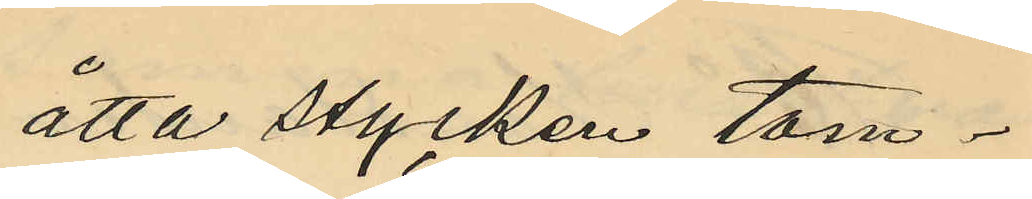åtta stycken tom¬
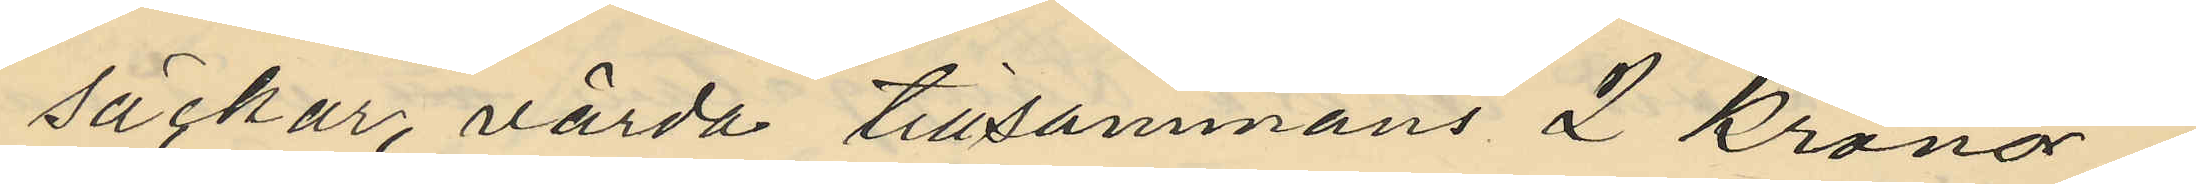säckar, värda tillsammans 2 kronor.
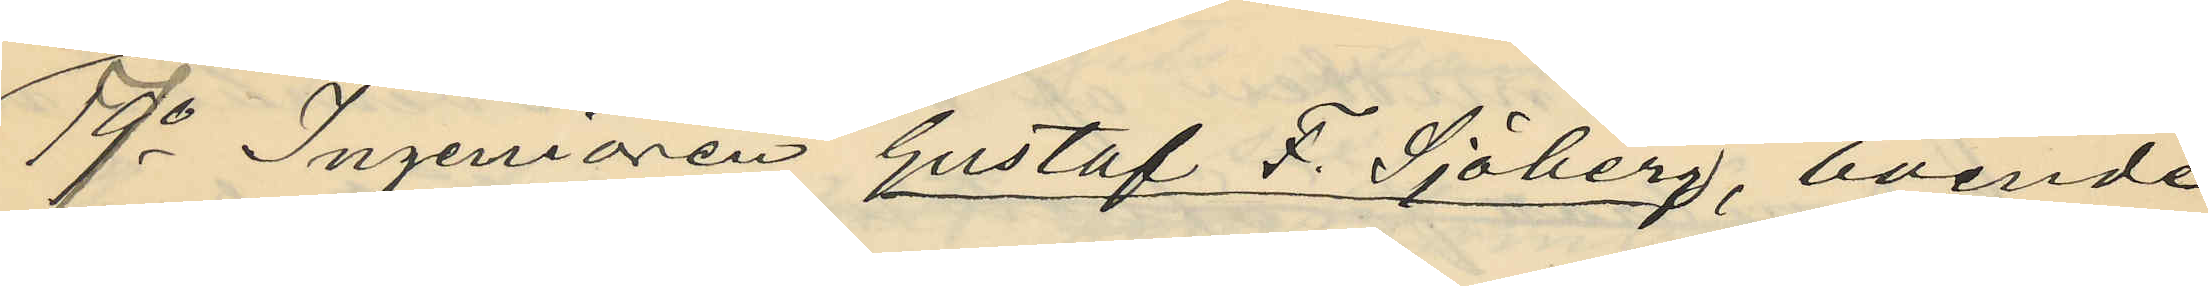17o Ingeniören Gustaf F. Sjöberg, boende
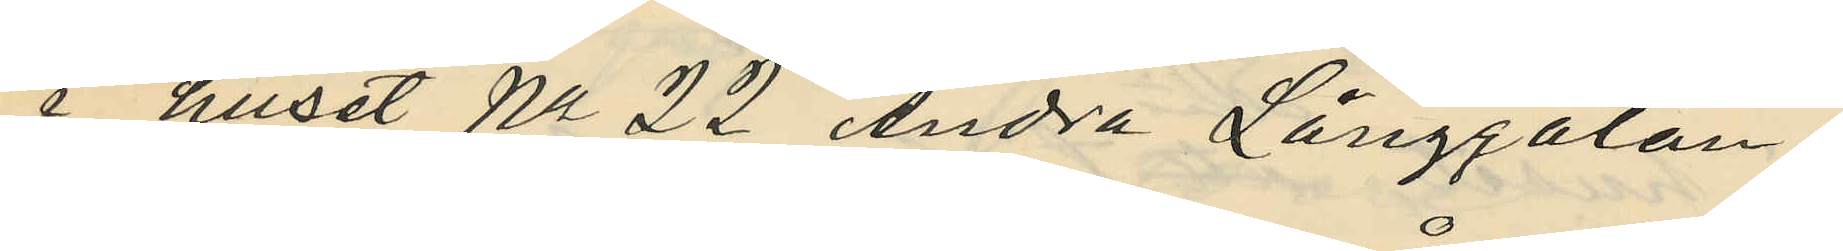i huset No 22 Andra Långgatan
